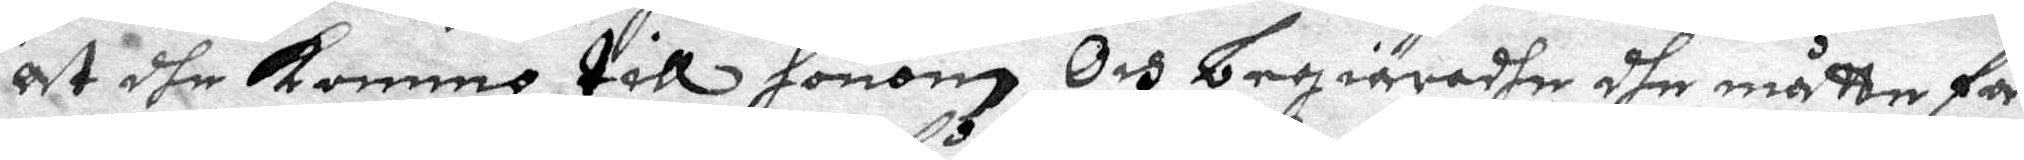at dhe kommo till honom Och begiäradhe dhe måtte få
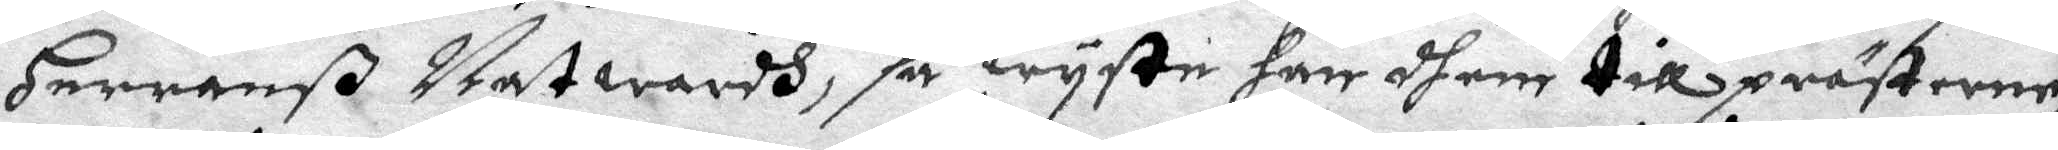Herranß Natwardh, så wyste han dhem till prästerne,
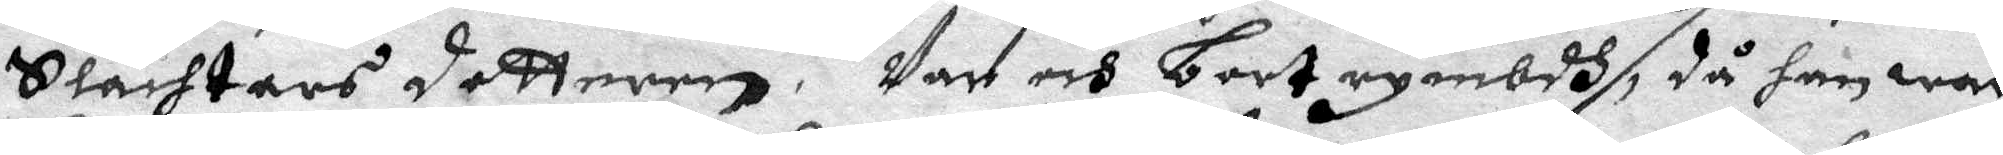Stachtars dotteren. Var och bort rymbdh, då han war
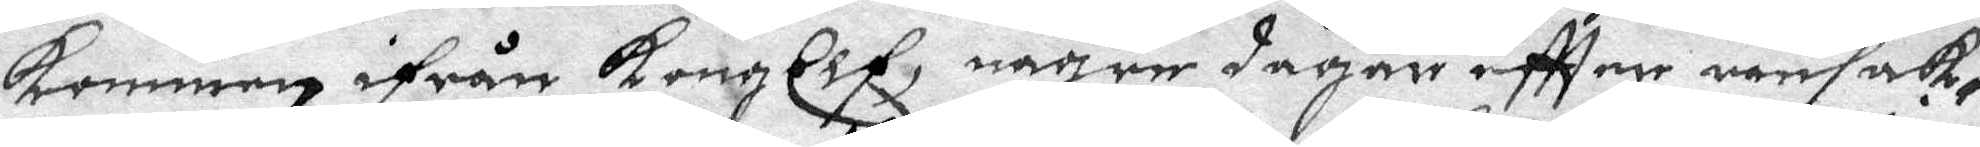kommen ifrån KongElf, någre dagar eftter ransak¬ 
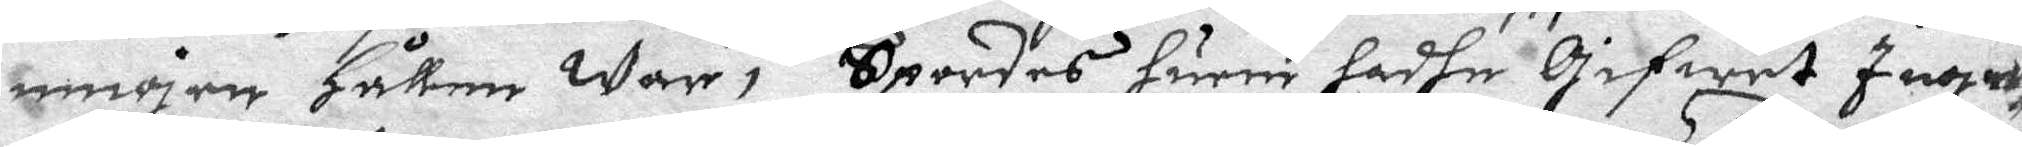ningen Hållen war; Spordes huru hadhe Gifwet Inge¬
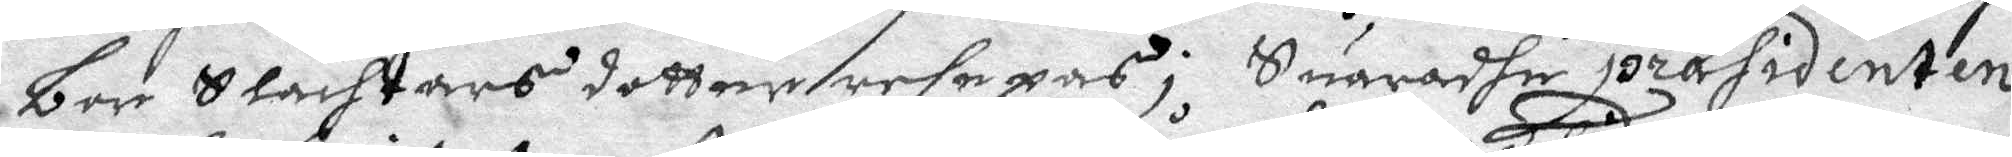bor Slachtars dotter resepas; Suaradhe presidenten
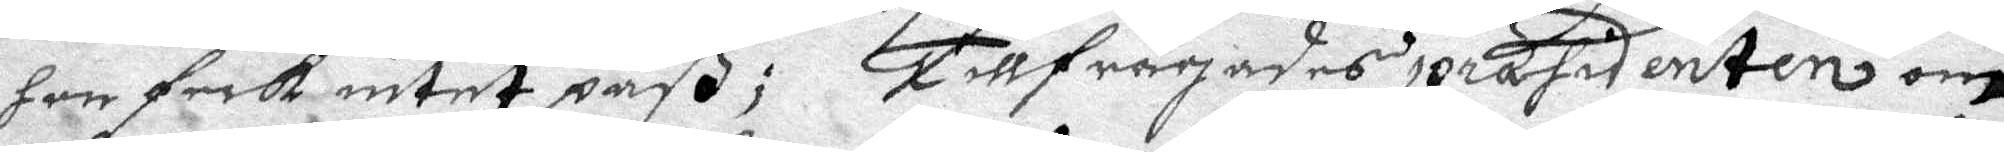hon feck intet paß; Tillfrågades prasidenten om
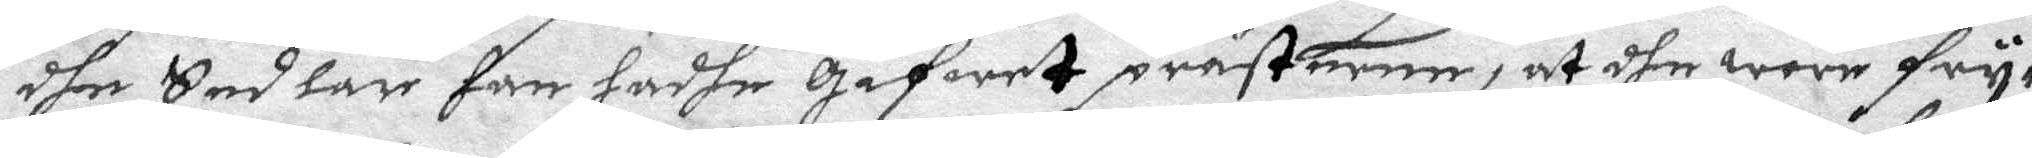dhe Sedlar han hadhe gifwet prästerne, at dhe wore fry¬
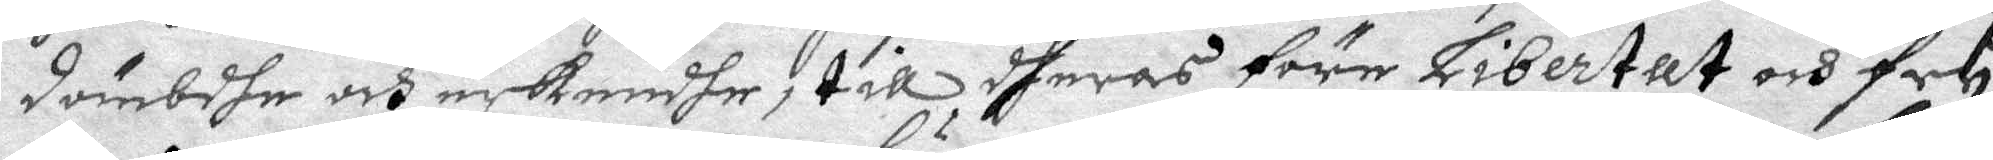dömbdhe och nekendhe, till dheras före Libertat och fry¬
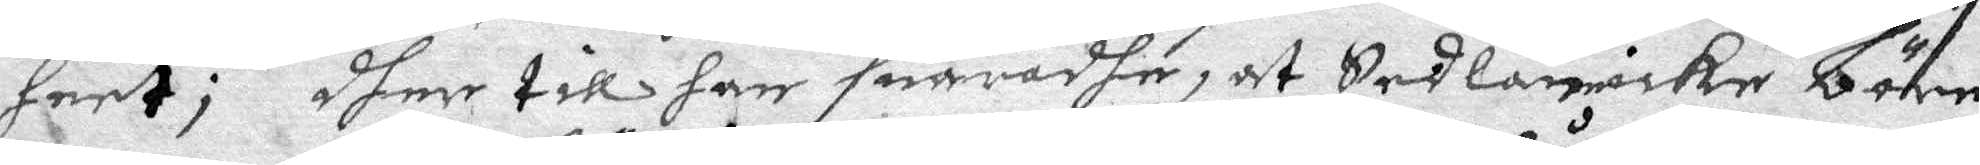heet; dher till han suaradhe, at Sedlan måcke Läre
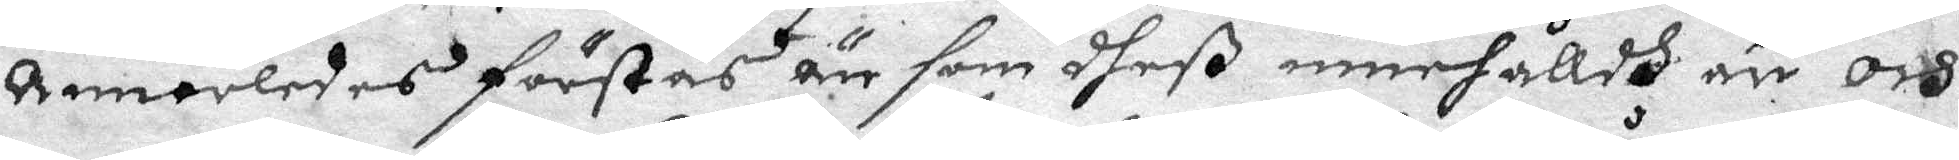Annorledes förstås än som dheß innehålldh är och
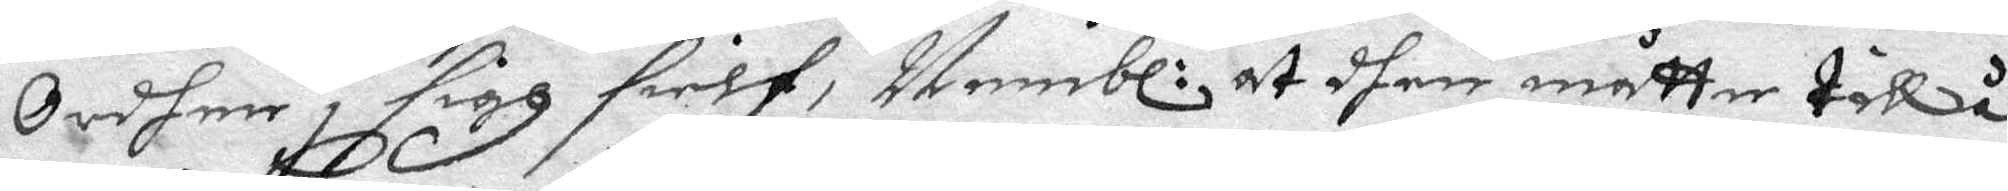Ordhen i sigh sielf, Nembl: at dhen måtter tillå¬ 
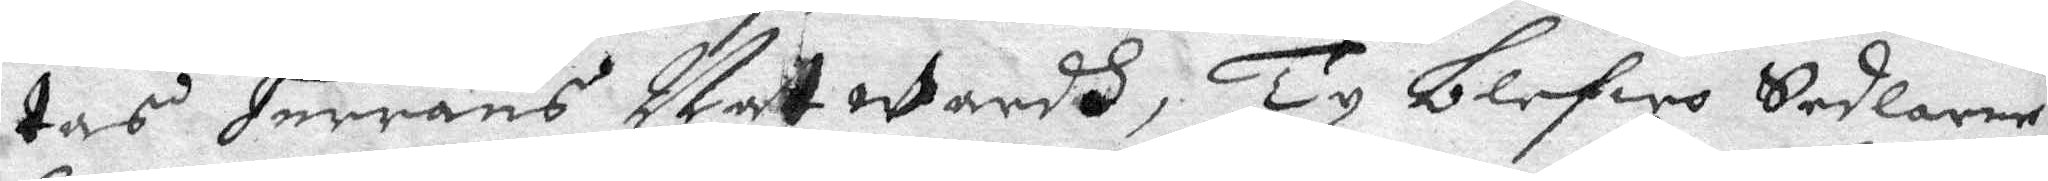tas Herrans Natwardh; Ty blefwo Sedlarne
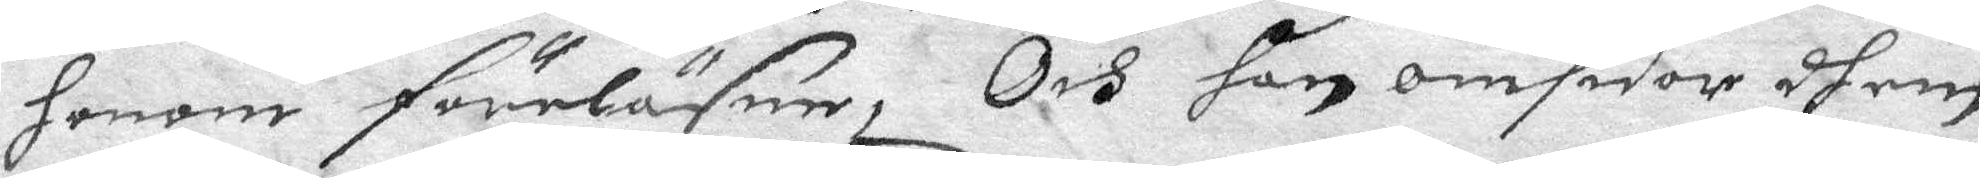Honom föreläsne; Och han omsidor dhem
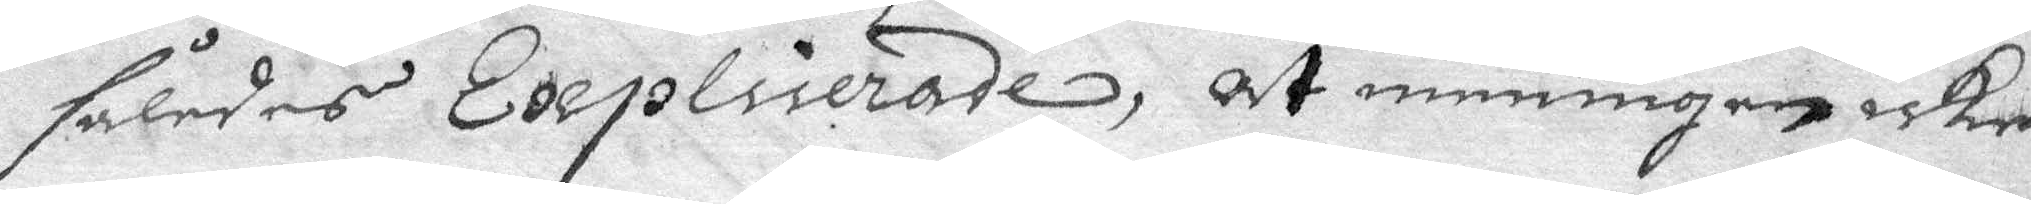således Explicerade, at menigen icke
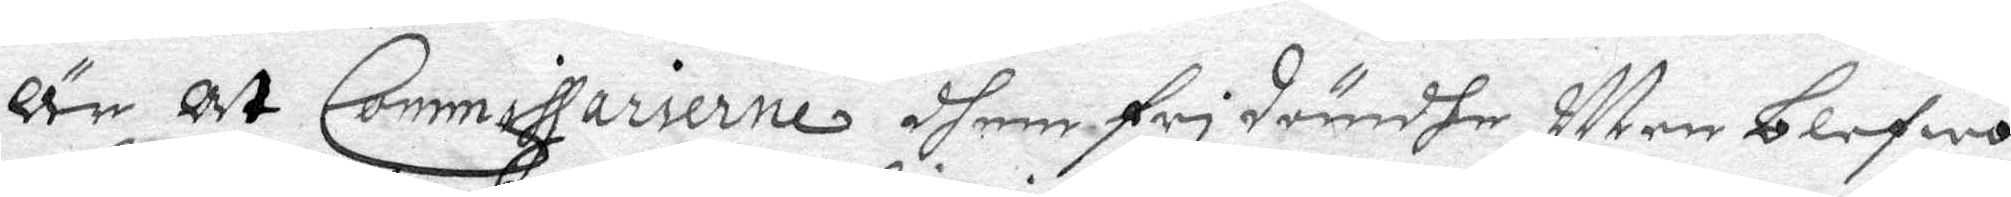Är At Commissarierne dhem fridömdhe Men blefwo
